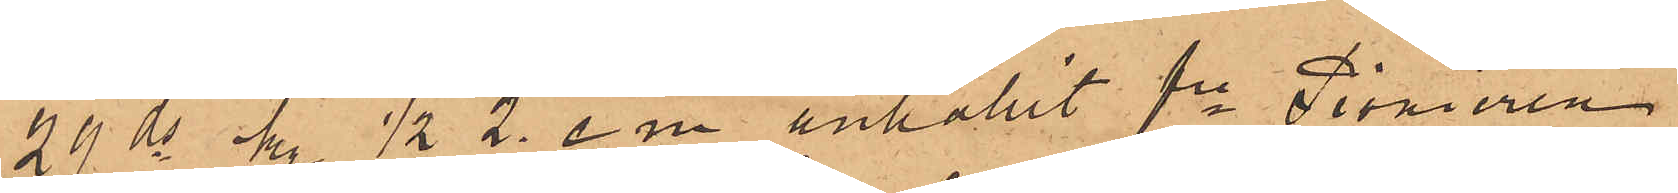24 ds kl  ½2 e. m. anhållit fe Pionieren
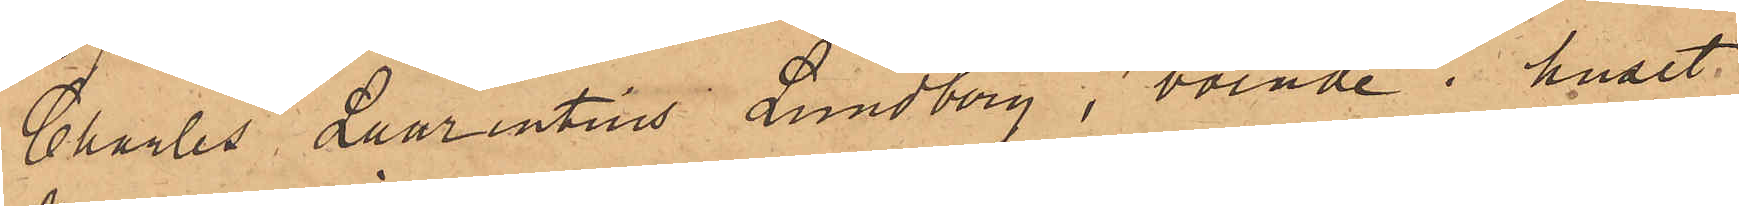Charles Laurentius Lundberg, boende i huset
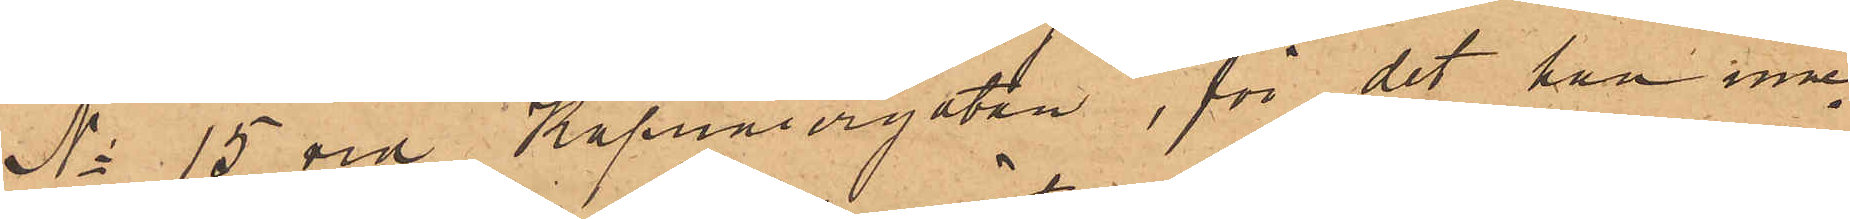No 15 vid Kapuniergatan, för det han inne¬
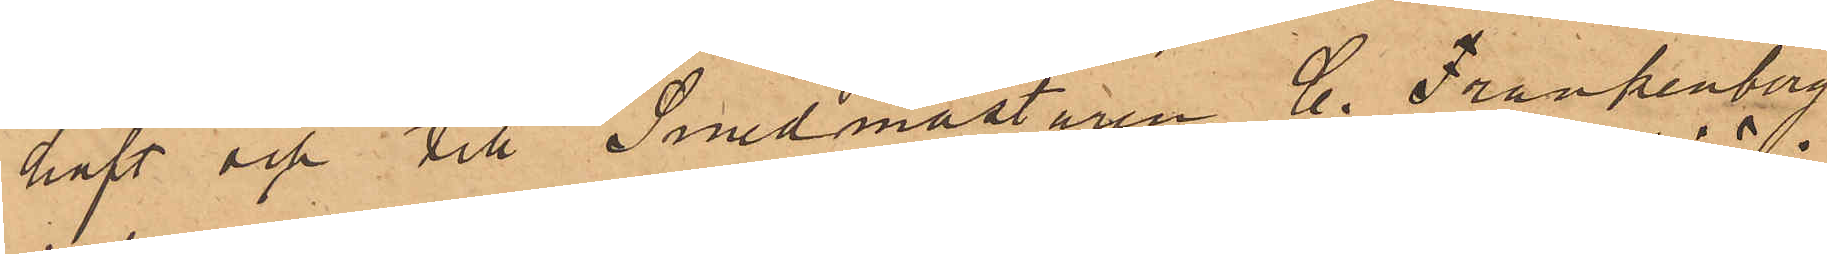haft och till Smedmästaren C. Frankenberg
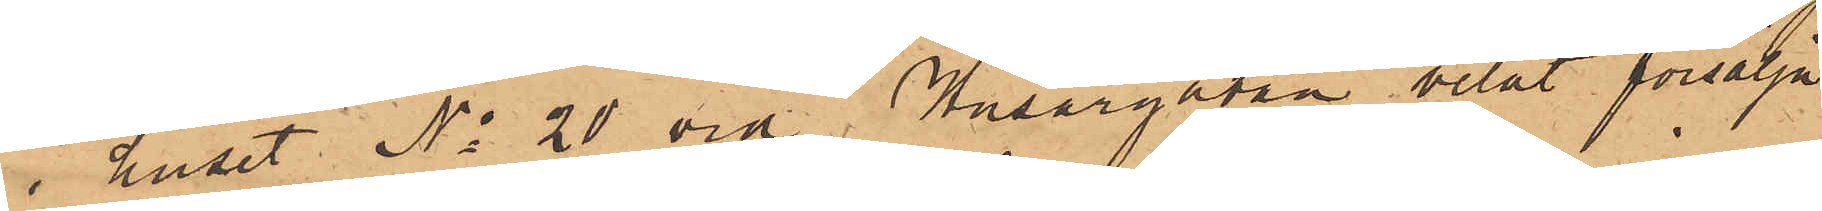i huset No 20 vid Husargatan velat försälja
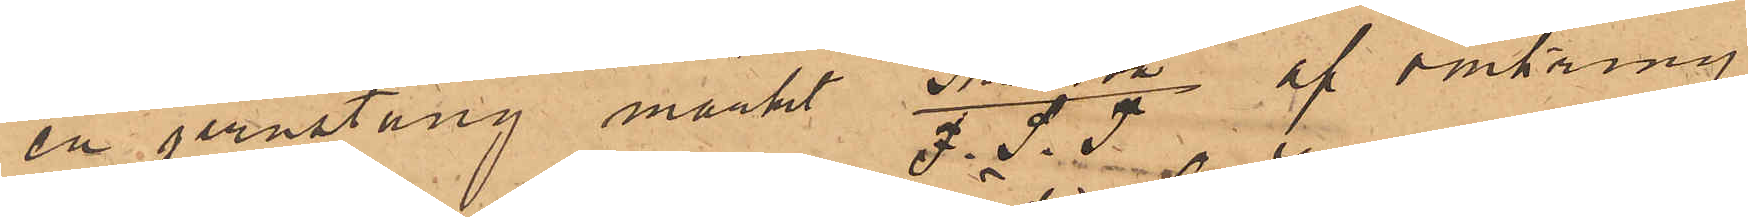en jernstång märkt "Stranton"/F.S.T af omkring
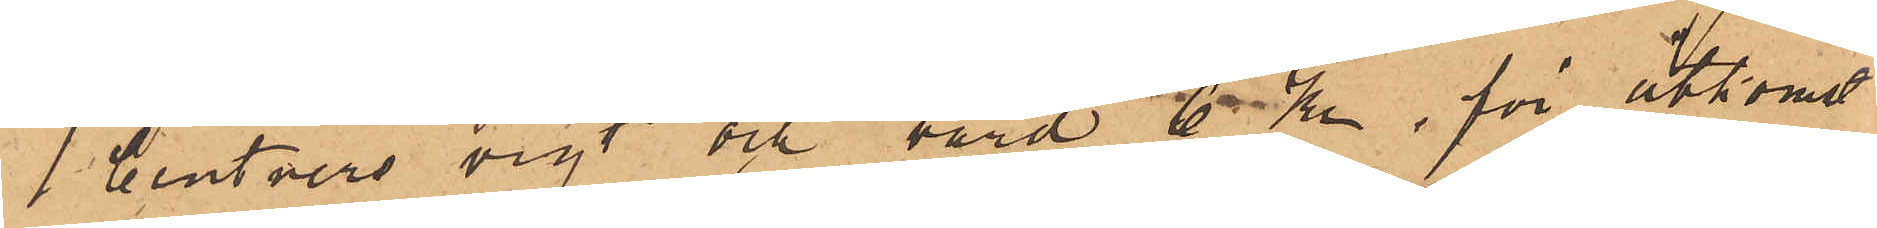1 Centners vigt och värd 6 Kr, för åtkomst
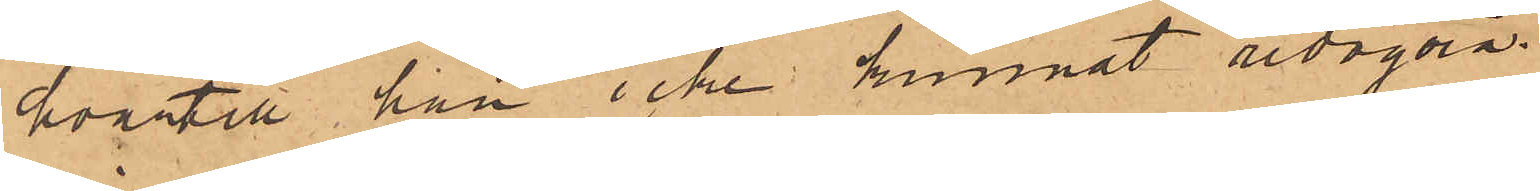hvartill han icke kunnat redogöra.
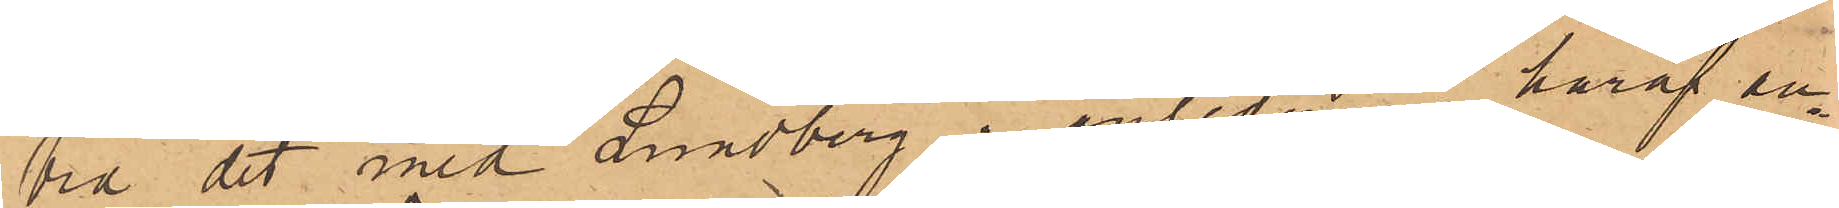Vid det med Lundberg i anledning häraf an¬
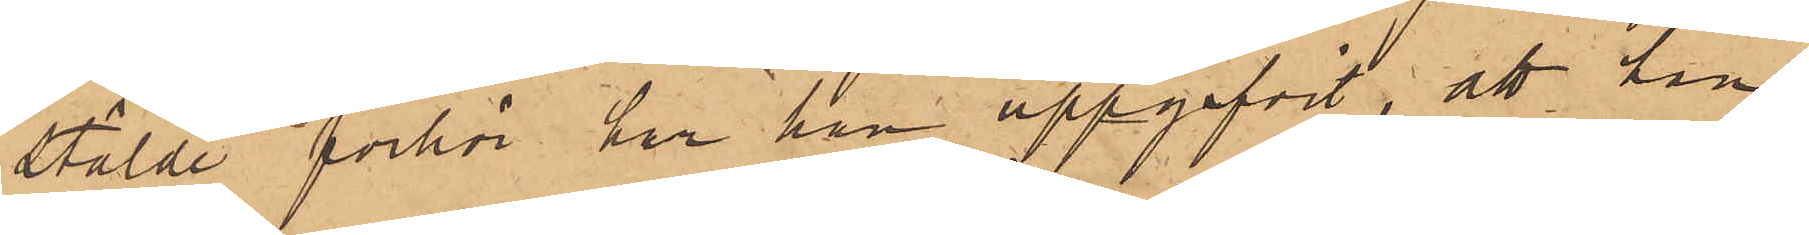stälde förhör har han uppgifvit, att han
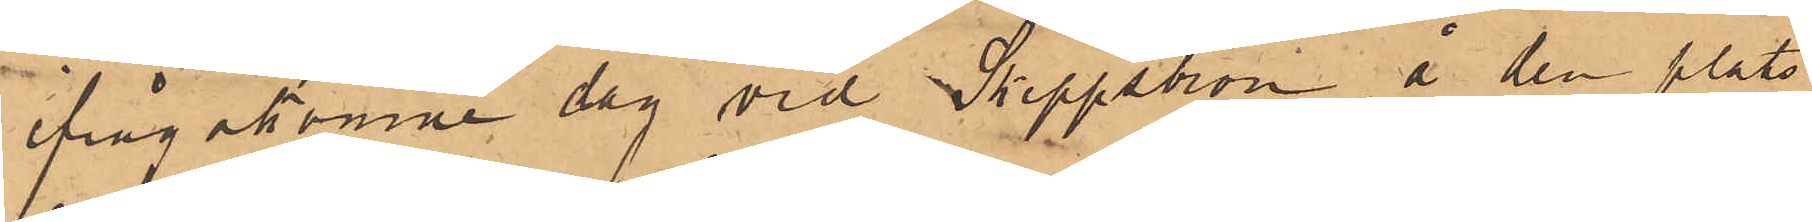ifrågakomne dag vid Skeppsbron, å den plats
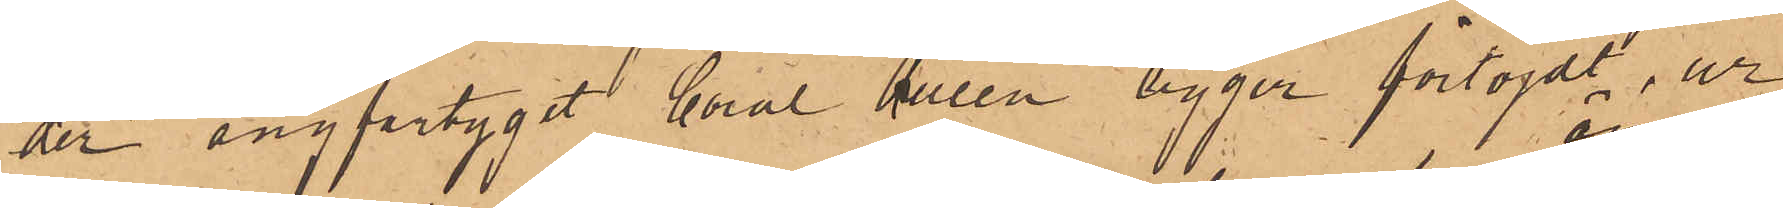der ångfartyget Coral Queen ligger förtöjdt, ur
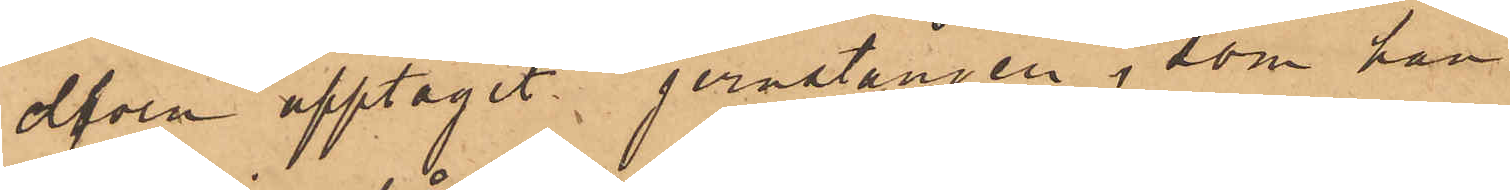elfven upptagit jernstången, som han
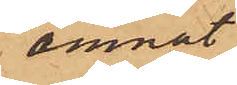ämnat
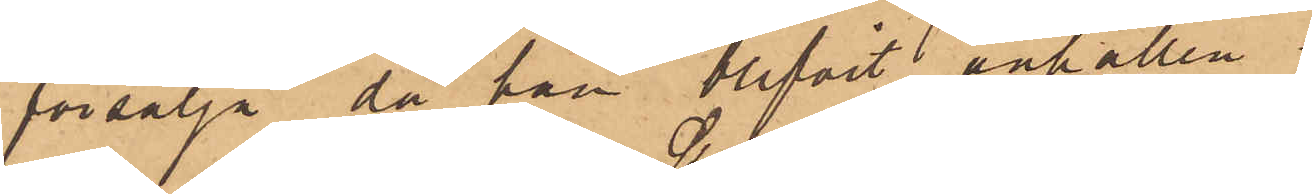försälja, då han blifvit anhållen.
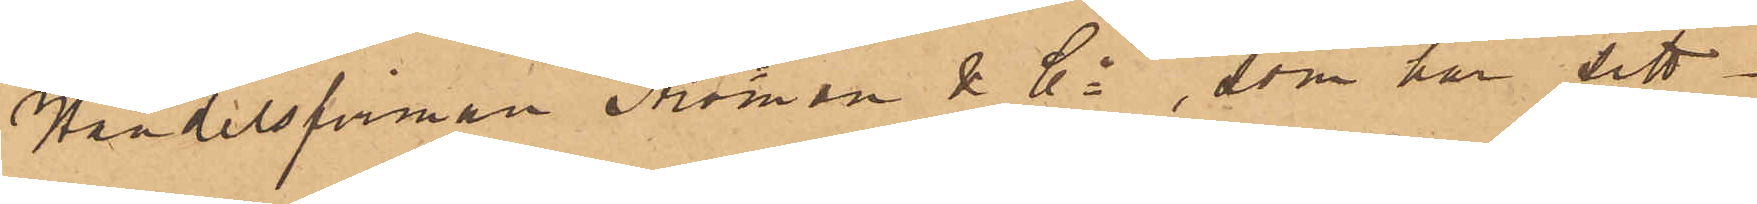Handelsfirman Ströman & Co, som har sitt
